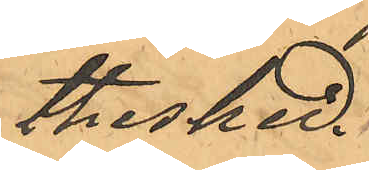thesked.
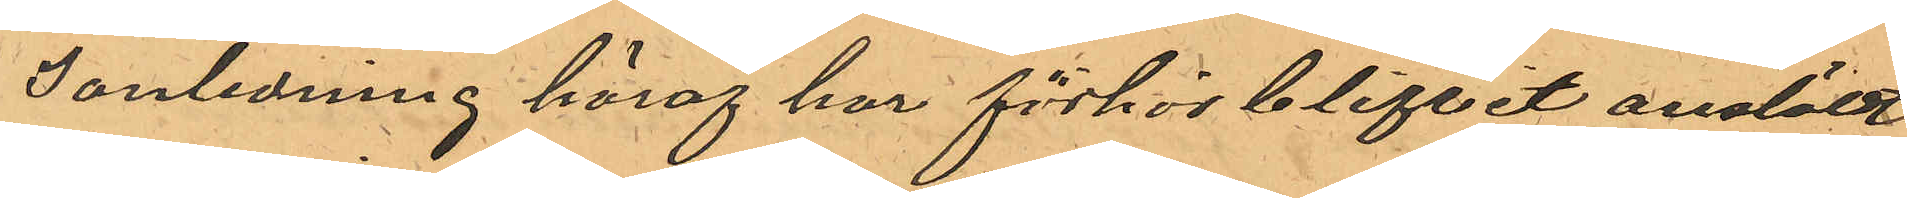I anledning häraf har förhör blifvit anstäldt
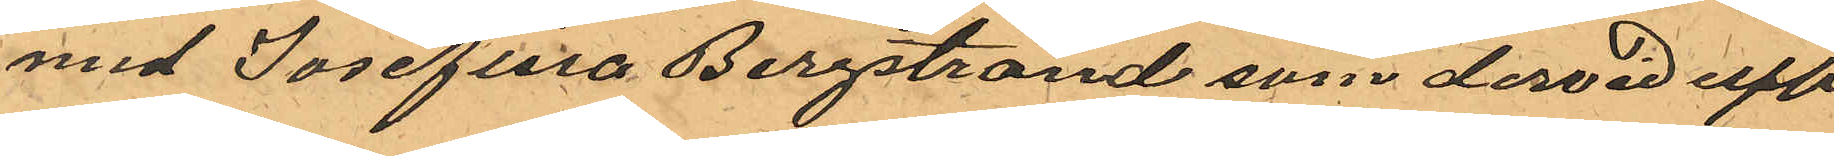med Josefina Bergstrand som dervid upp¬
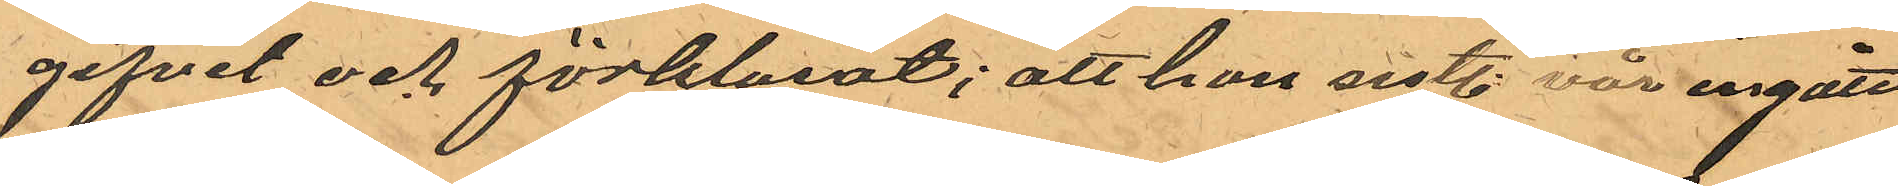gifvit och förklarat; att hon sistl. vår ingått
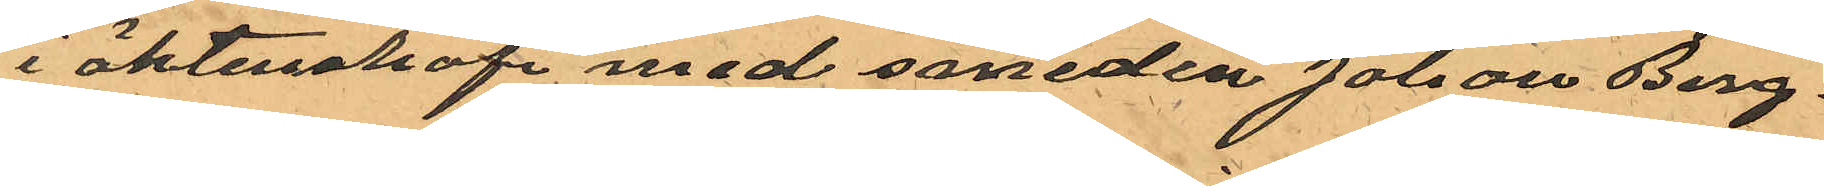i äktenskap med smeden Johan Berg¬
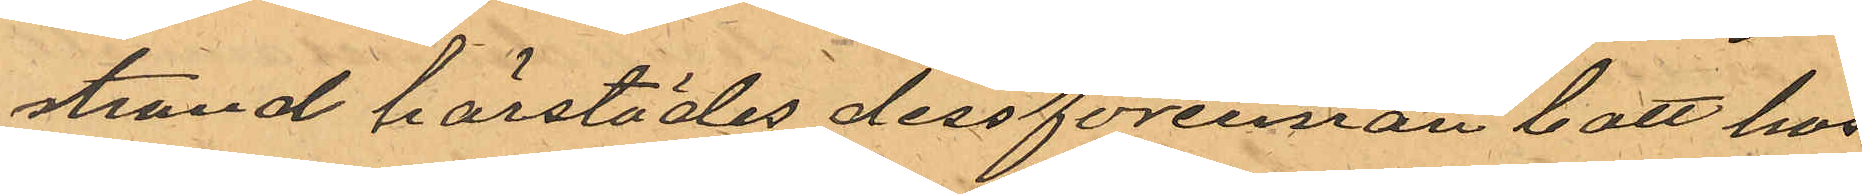strand härstädes dessförinnan bott hos
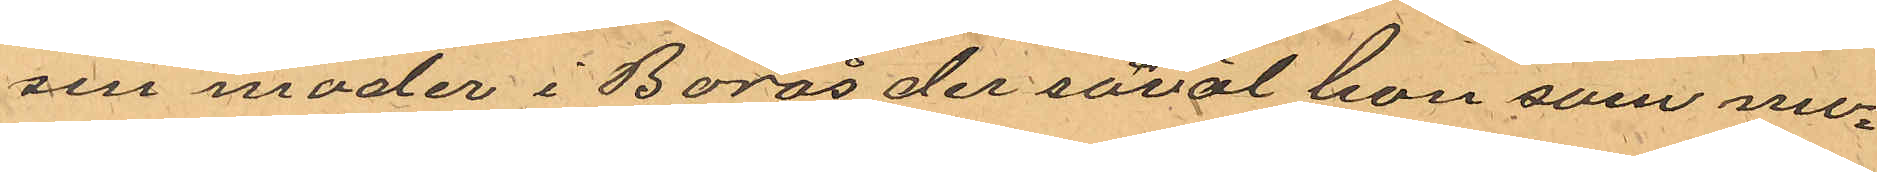sin moder i Borås der såväl hon som mo¬
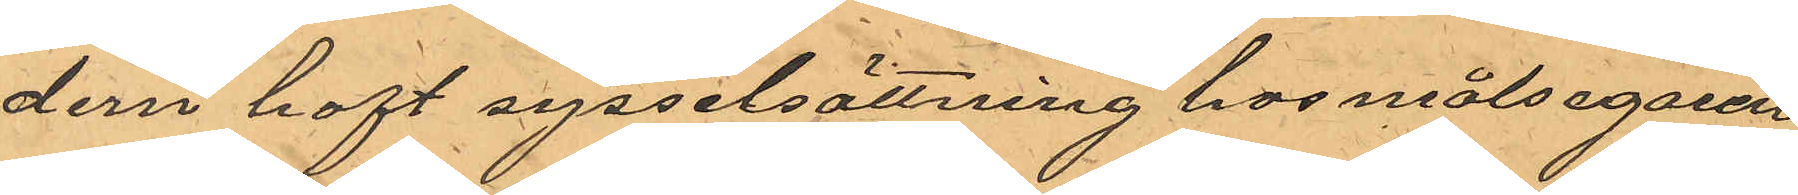dern haft sysselsättning hos målsegaren
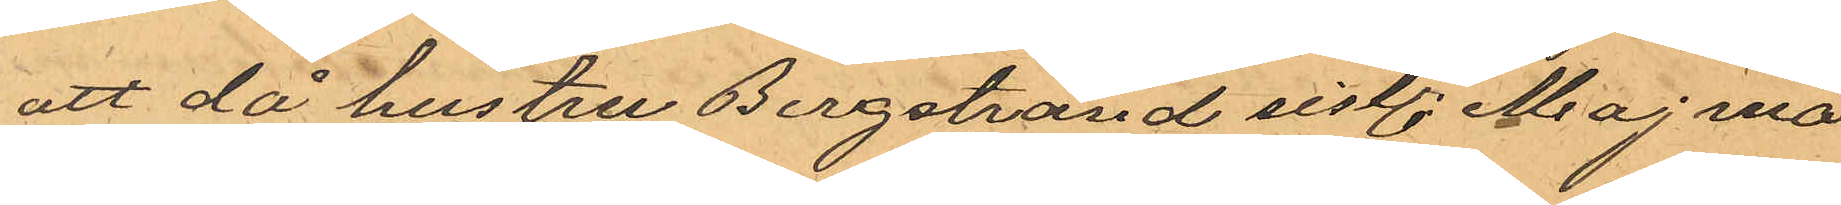att då hustru Bergstrand sist. Maj må¬
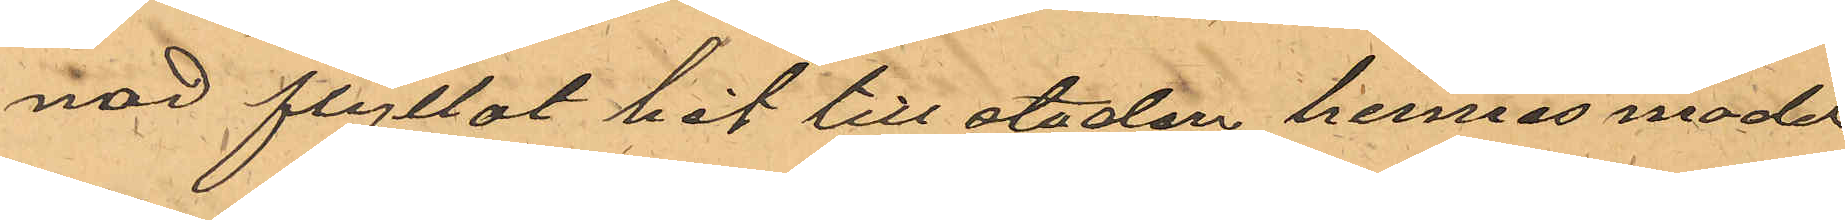nad flyttat hit till staden hennes moder
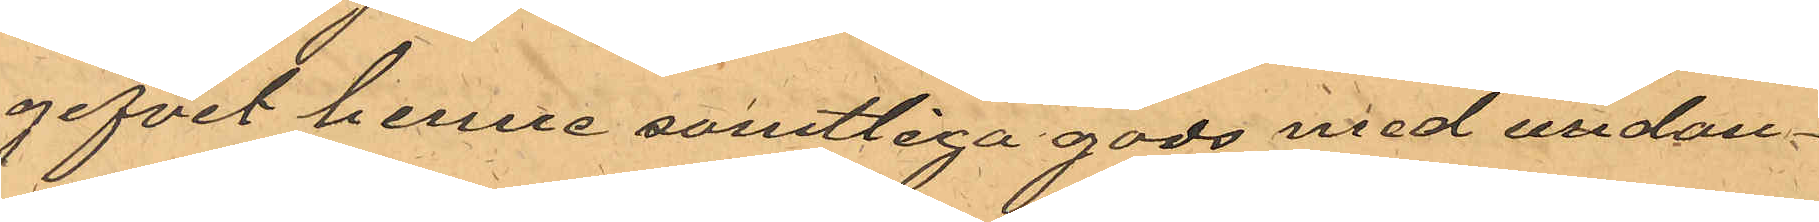gifvit henne samtliga gods med undan¬
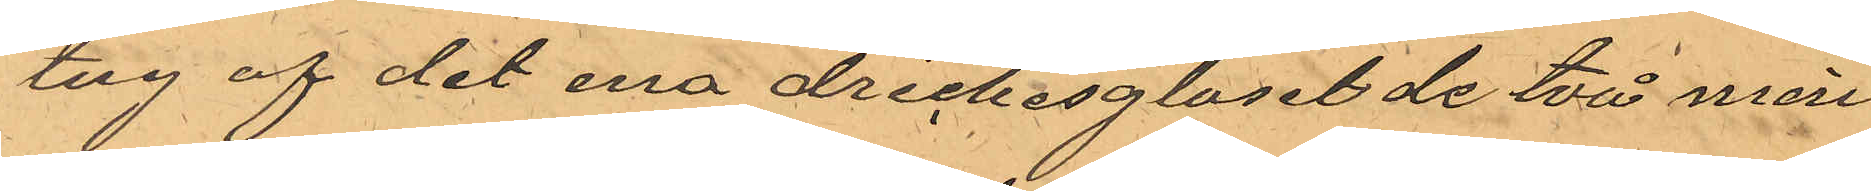tag af det ena drickesglaset de två min¬
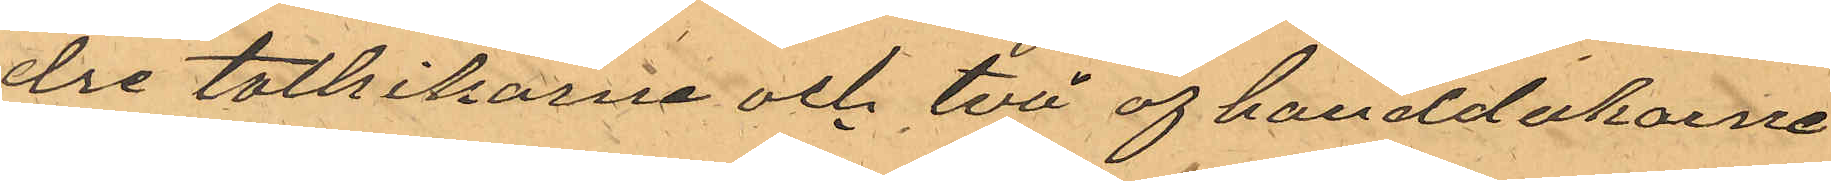dre tallrikarne och två af handdukarne
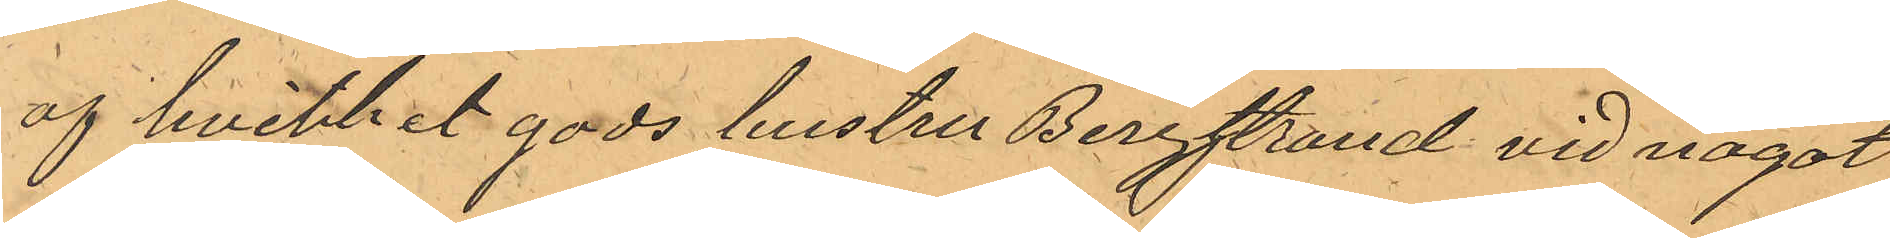af hvilket gods hustru Bergstrand vid något
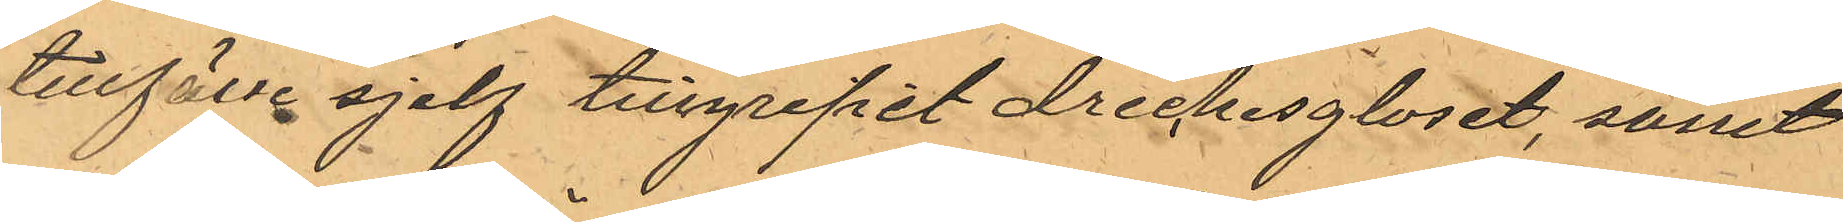tillfälle sjelf tillgripit drickesglaset, samt
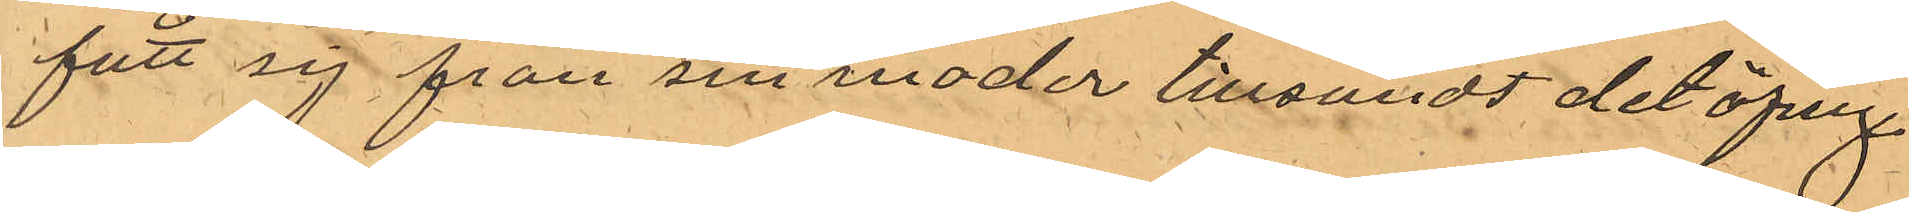fått sig från sin moder tillsandt det öfrige
